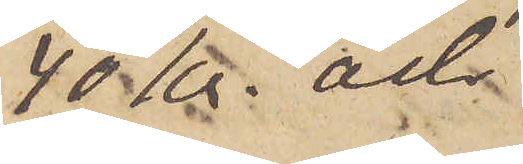40 kr. och
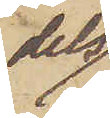dels
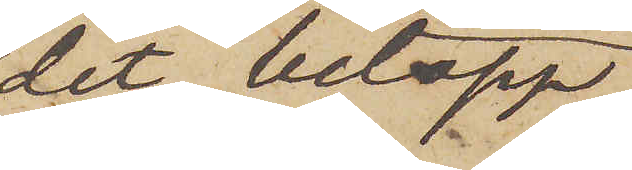det belopp,
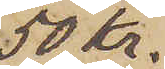50 kr,
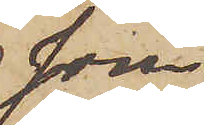som
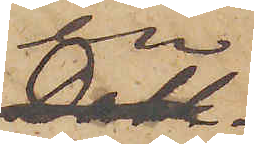en
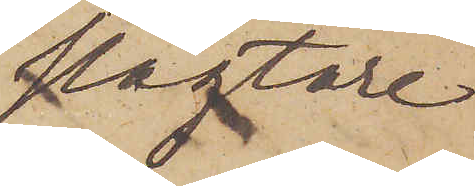slagtare
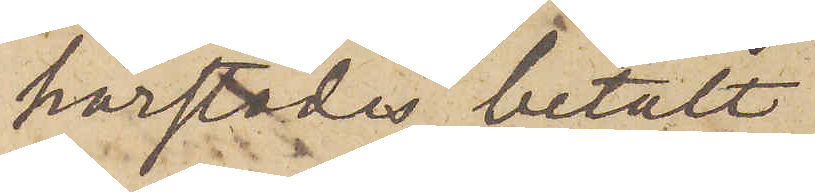härstädes betalt
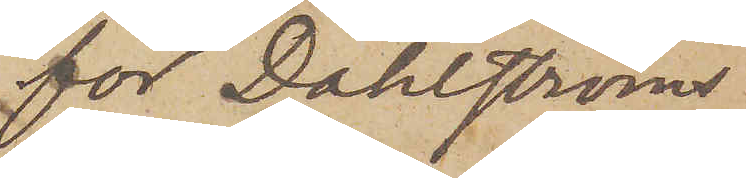för Dahlströms
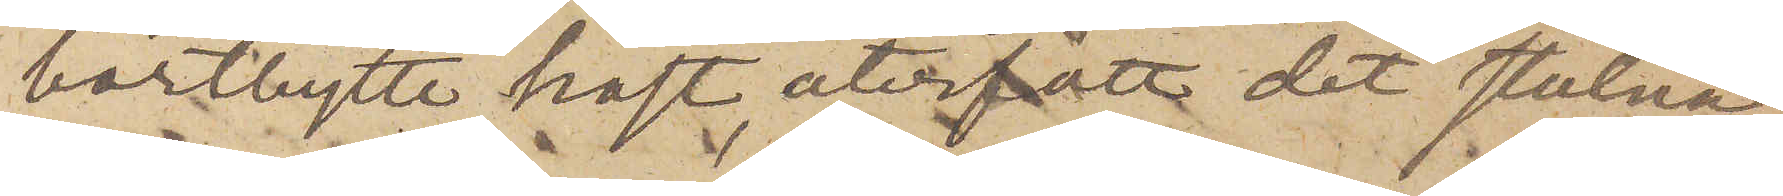bortbytte häst, återfått det stulna
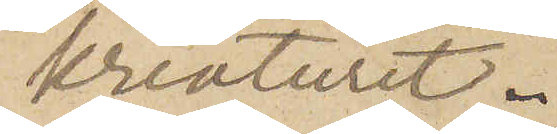kreaturet.
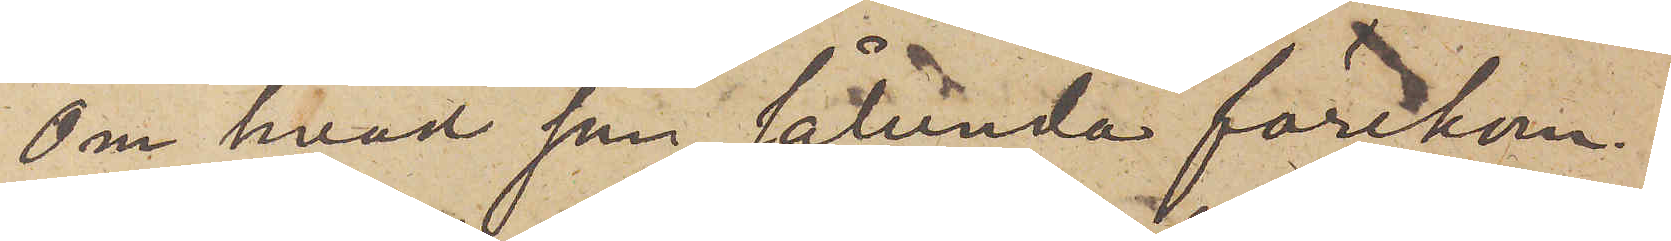Om hvad som sålunda förekom¬
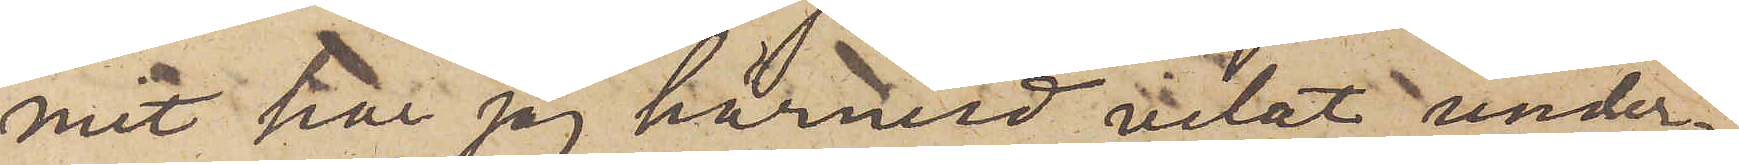mit har jag härvid velat under¬
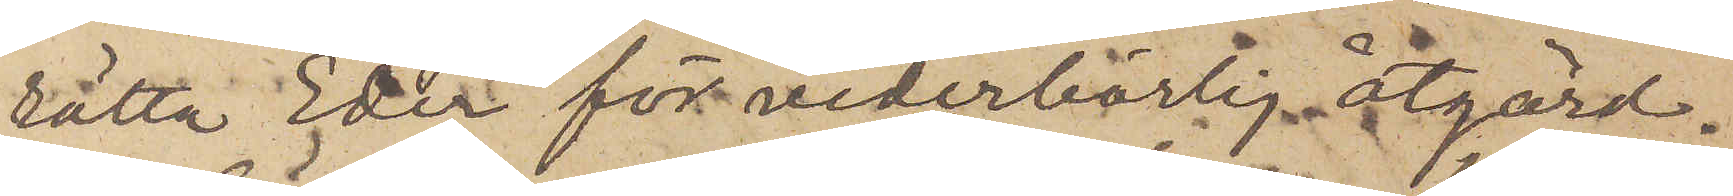rätta Eder för vederbörlig åtgärd.
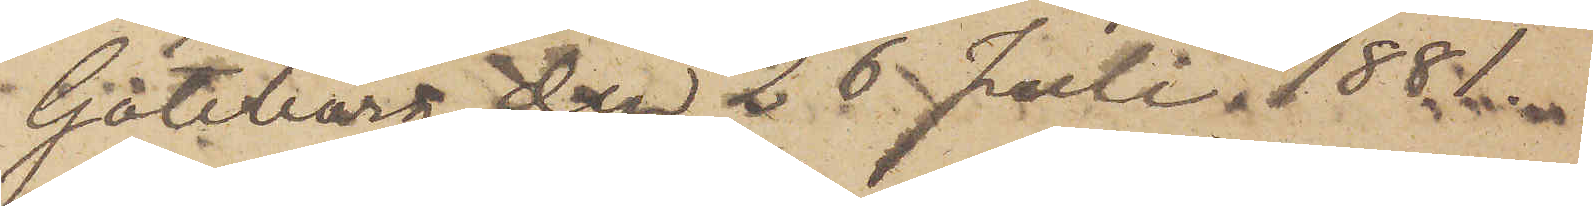Göteborg den 26 Juli 1881.
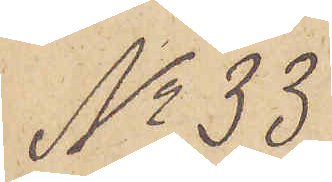No 33.
